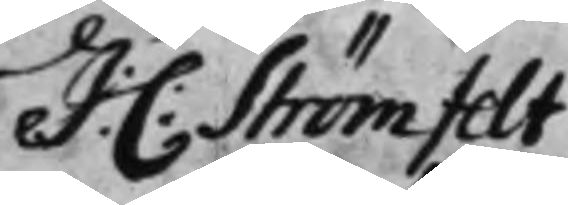J:C: Strömfelt
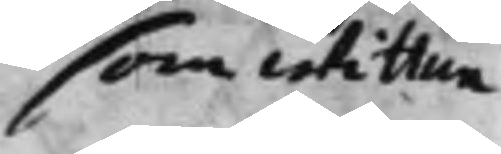som wittne
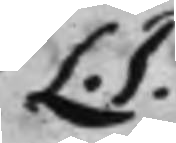L.S.
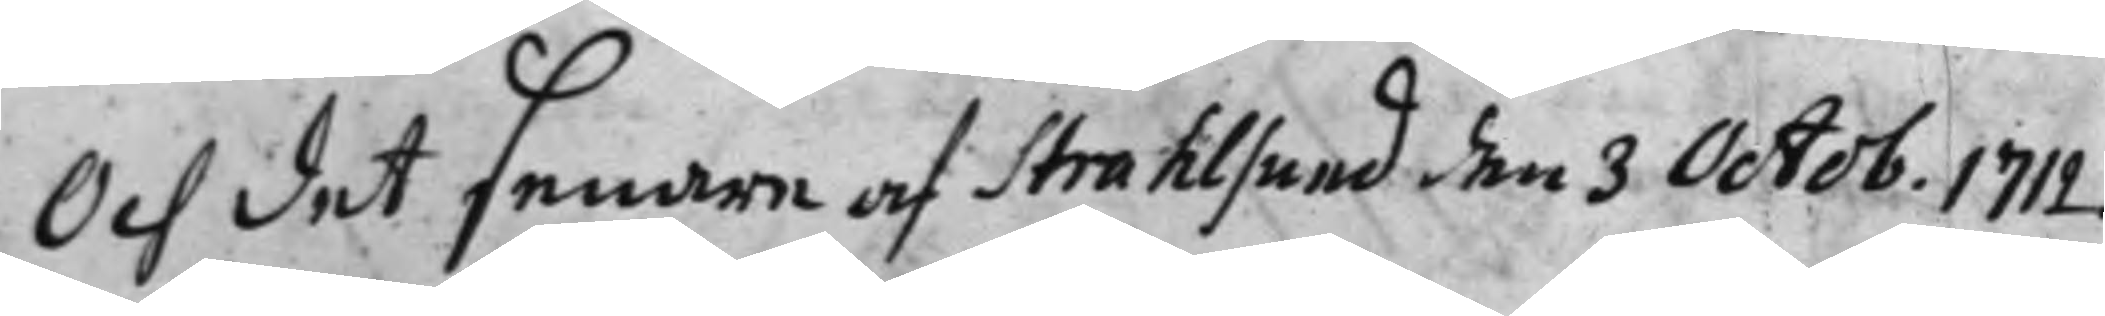Och det senare af Strahlsund den 3 Octob. 1712.
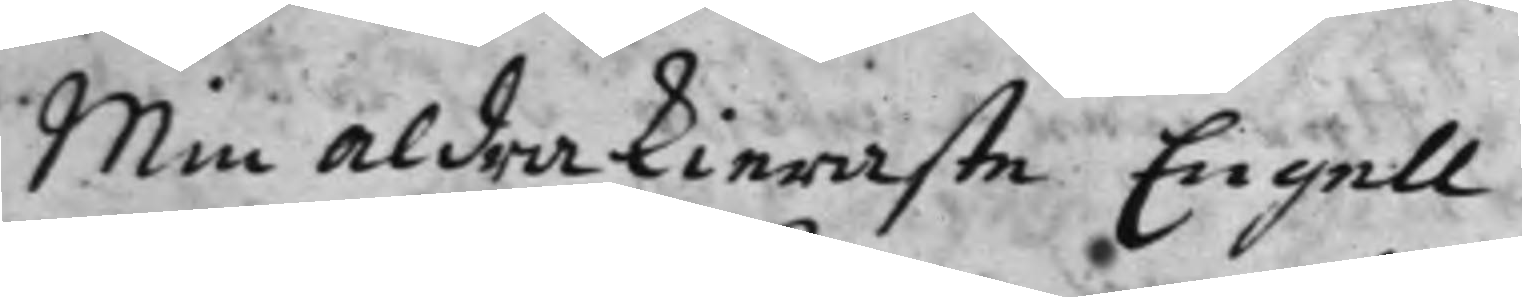Min aldra kieraste Engell
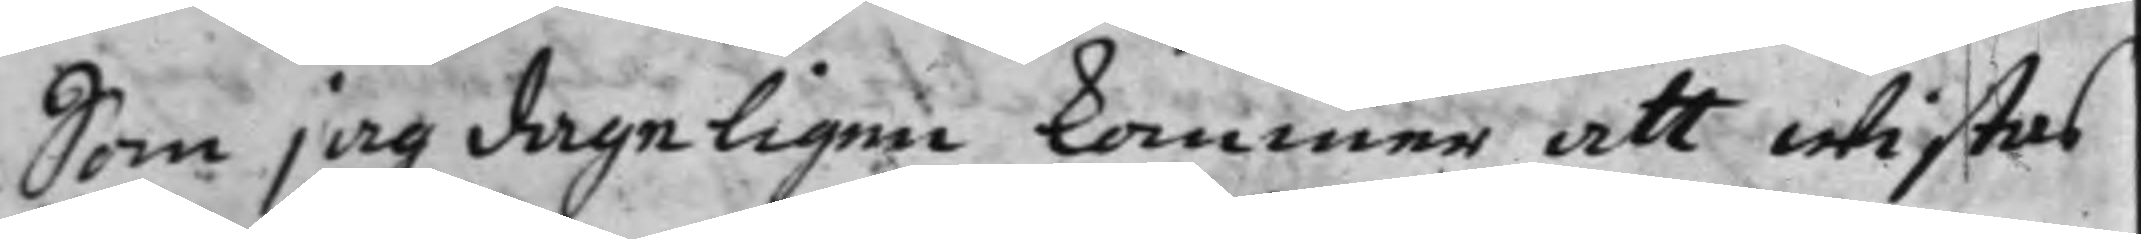Som jag dageligen kommer att wistas
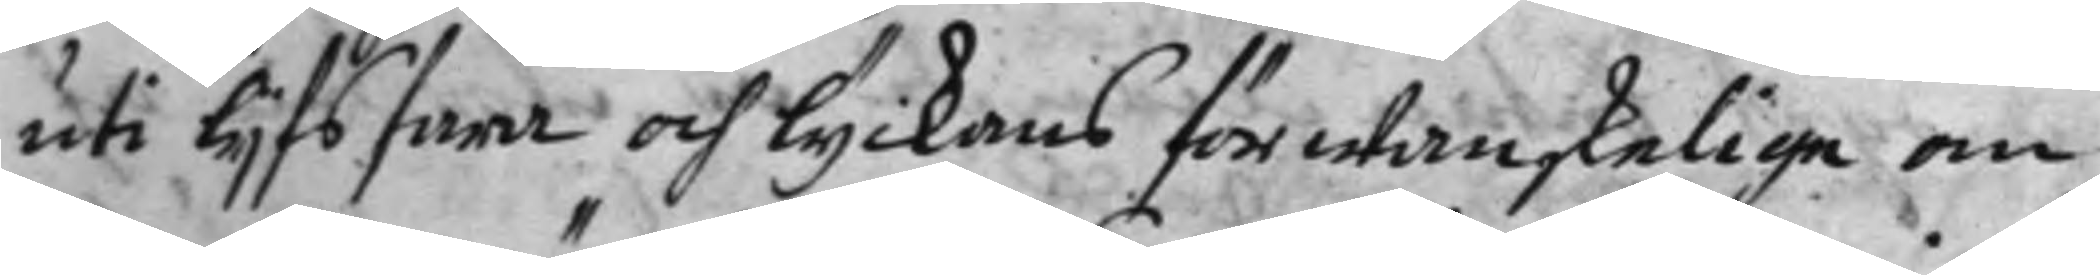uti lijfsfara och lyckans för wanskelige om¬
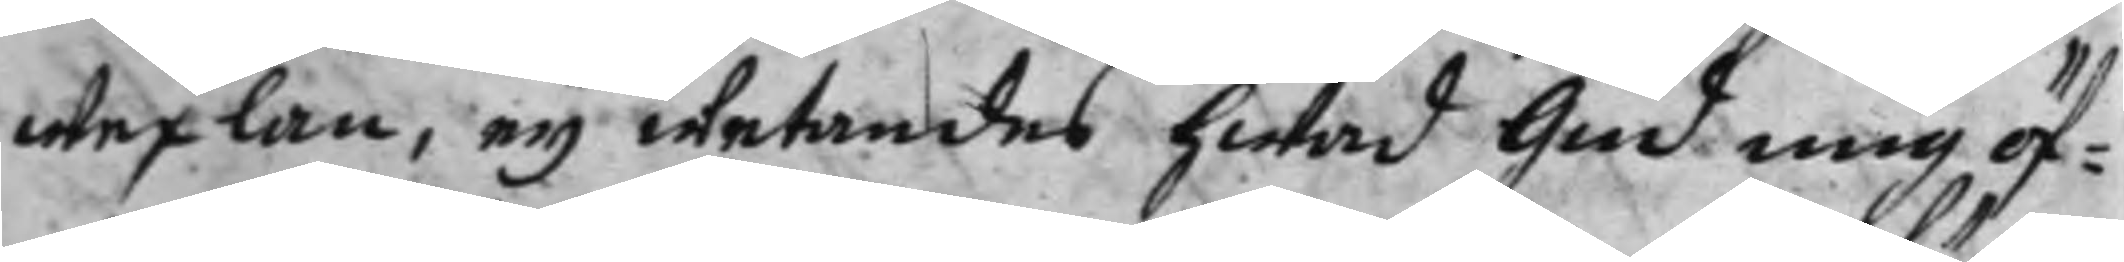wexlan, eij wetandes hwad Gud mig öf¬
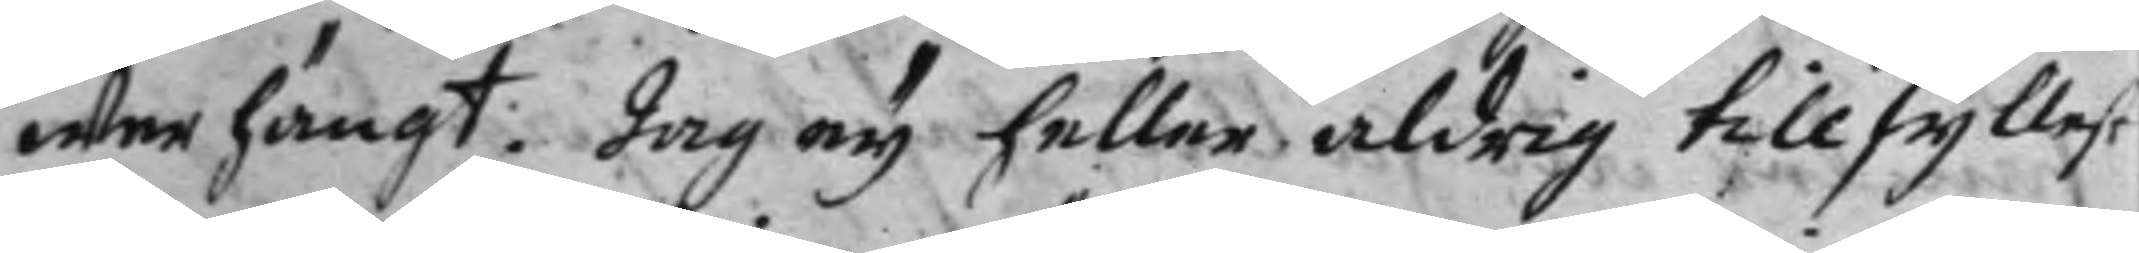werhängt. Iag eij heller aldrig tillfyllest
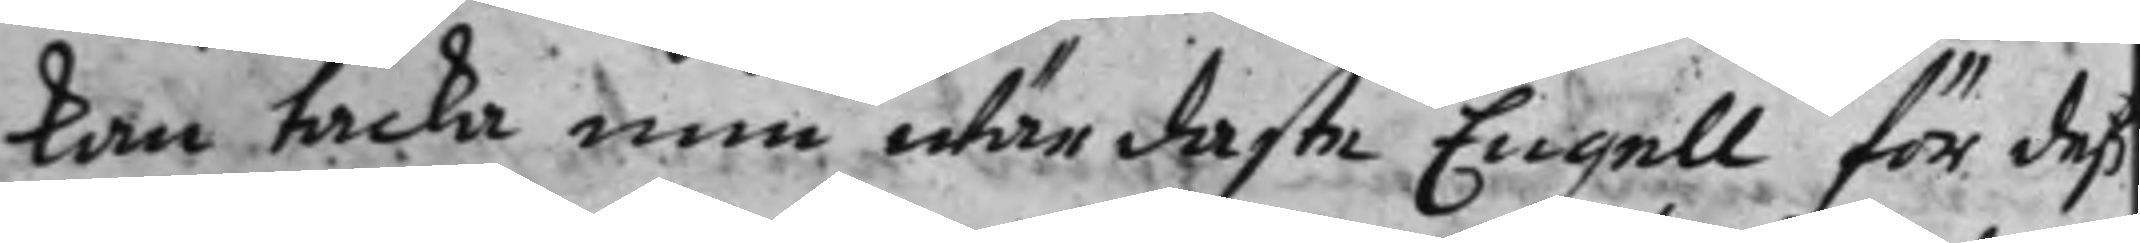kan tacka min wärdaste Engell för deß
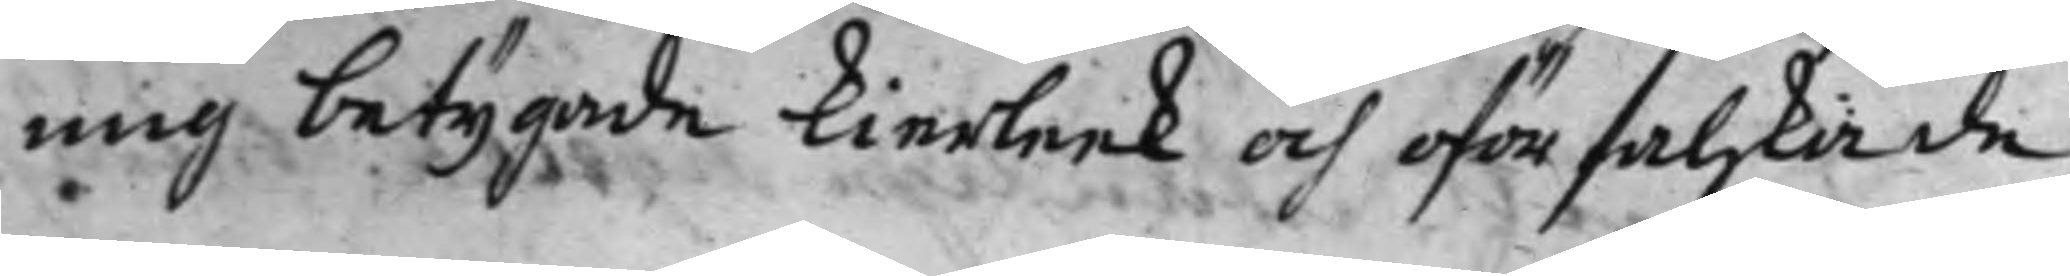mig betygade kierleek och oförfalskade
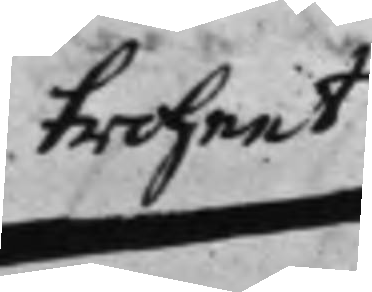trohet
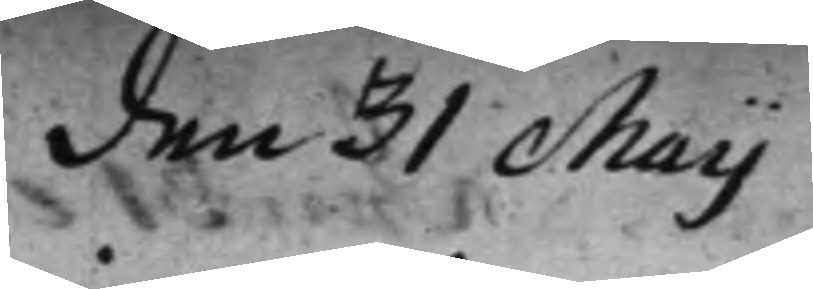den 31 Maij
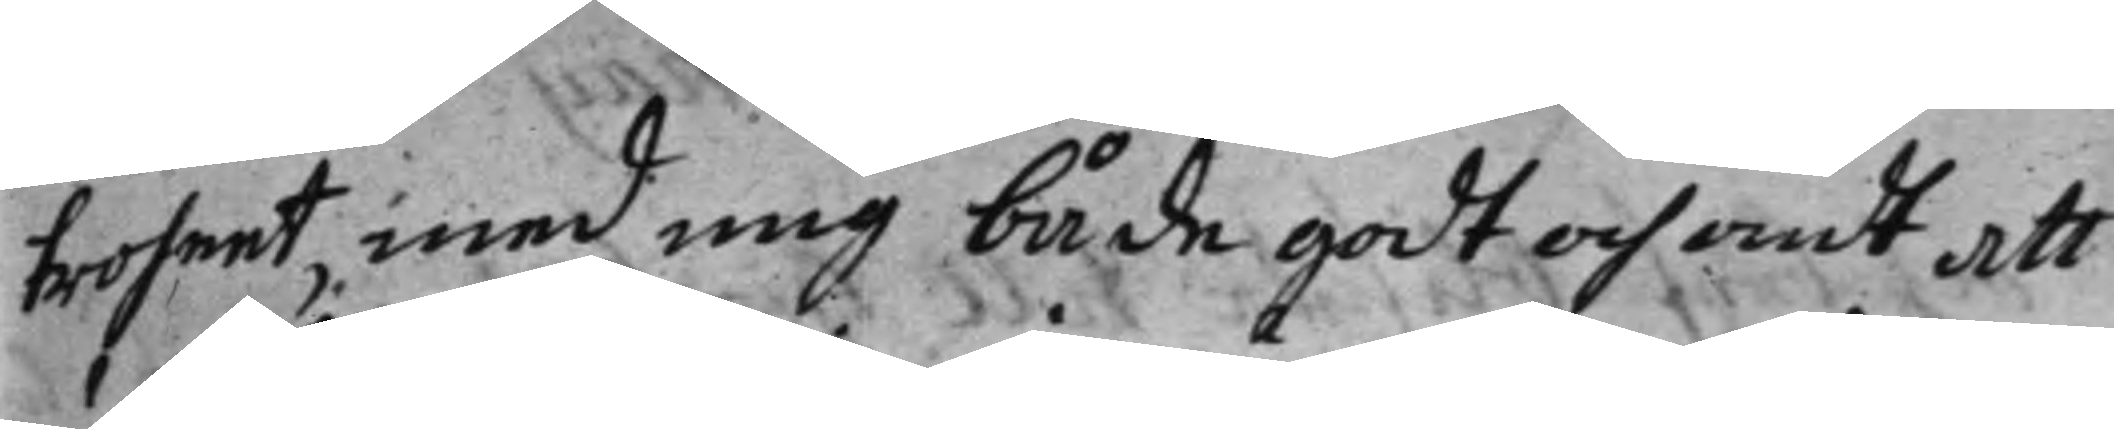troheet med mig både godt och ondt att
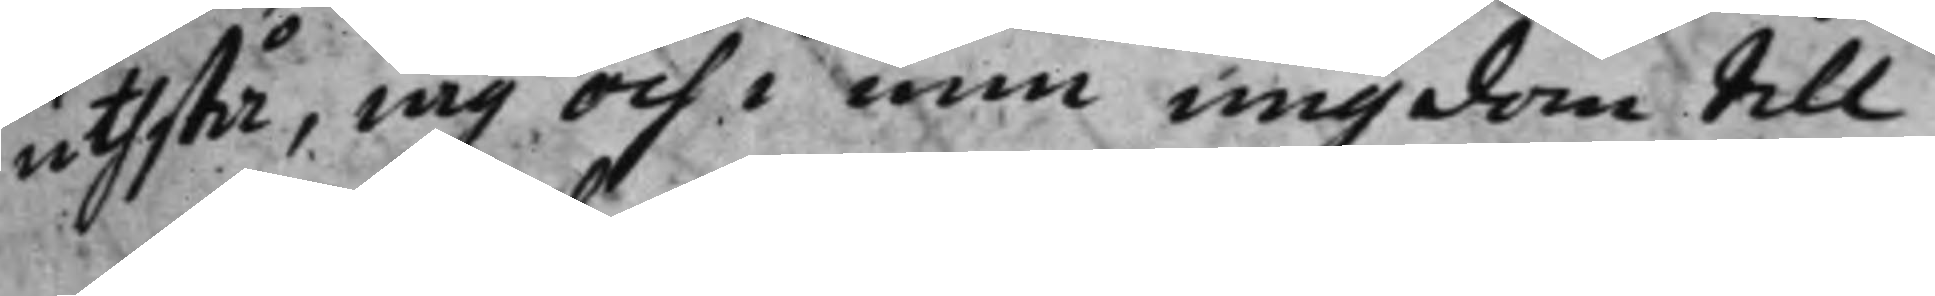uthstå, iag och i min ungdom till
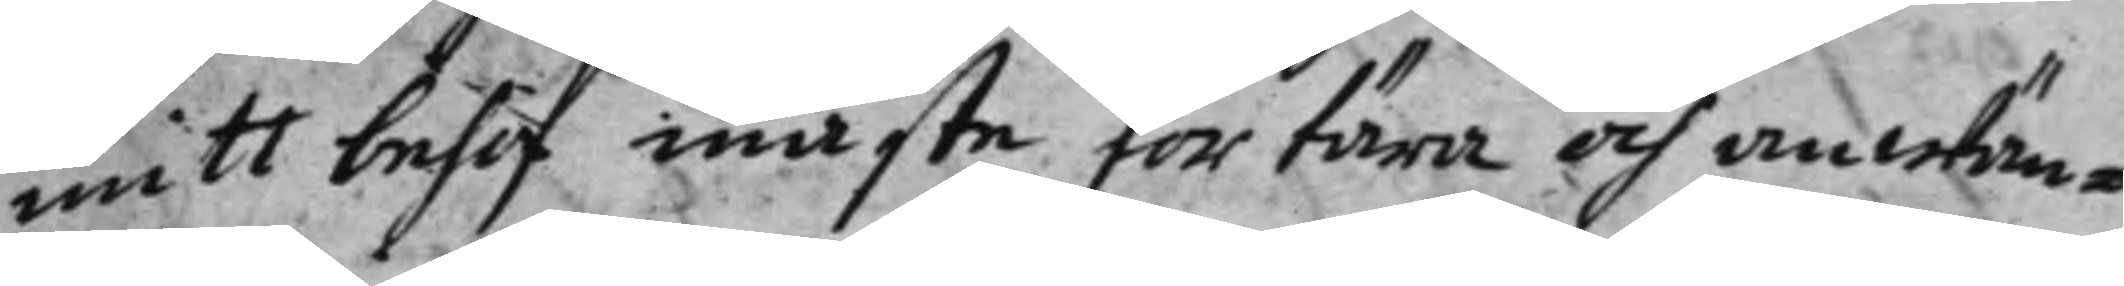mitt behof måste förtära och anwän¬
